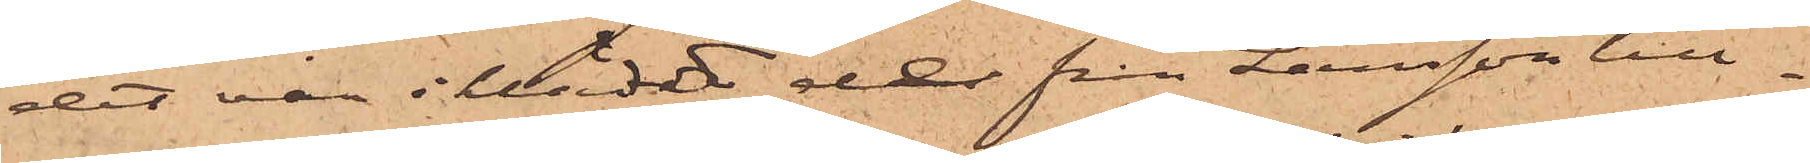det var iklädd de från Larsson till¬
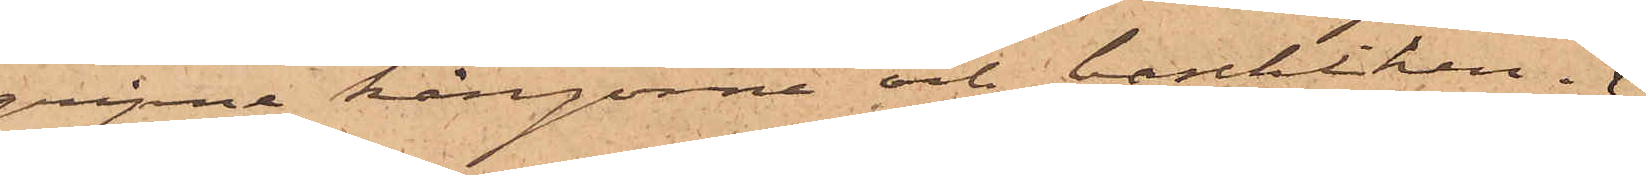gripne kängorna och baschliken.
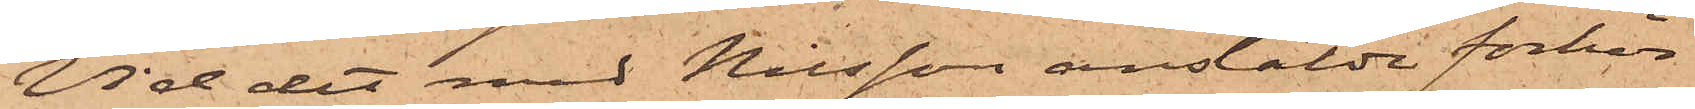Vid det med Nilsson anstälde förhör
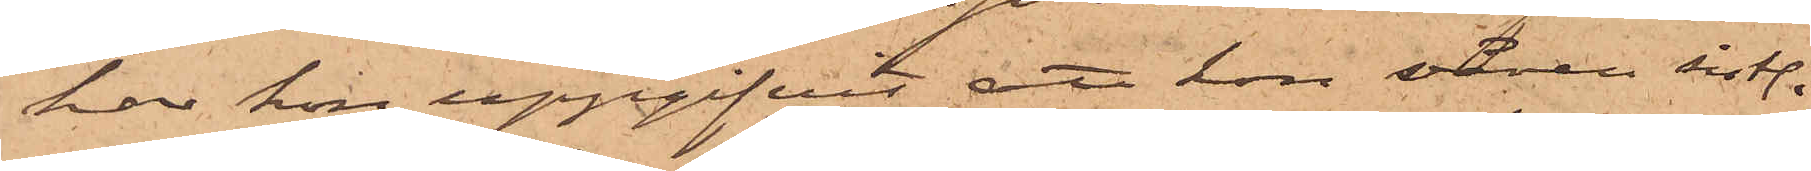har hon uppgifvit, att hon våren sistl.
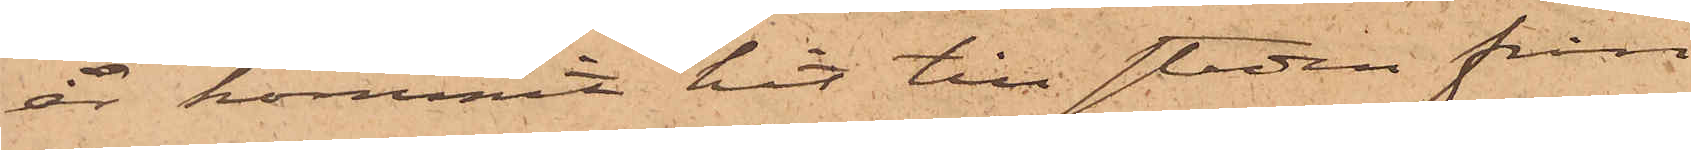år kommit hit till staden från
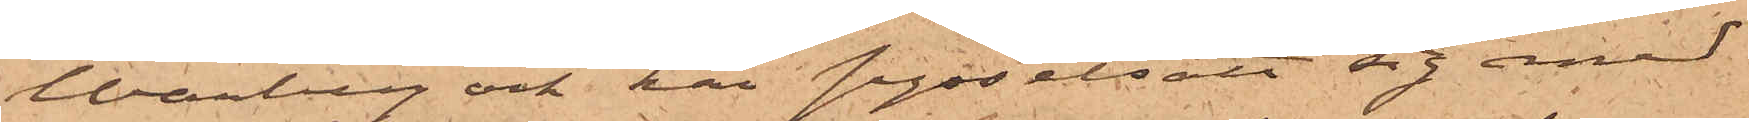Warberg och här sysselsatt sig med
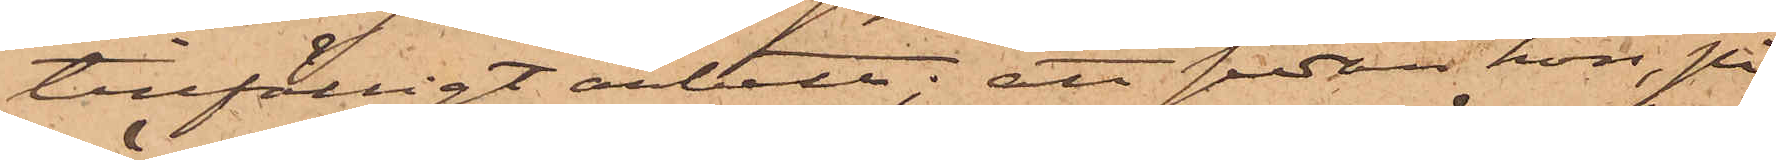tillfälligt arbete; att sedan hon, på
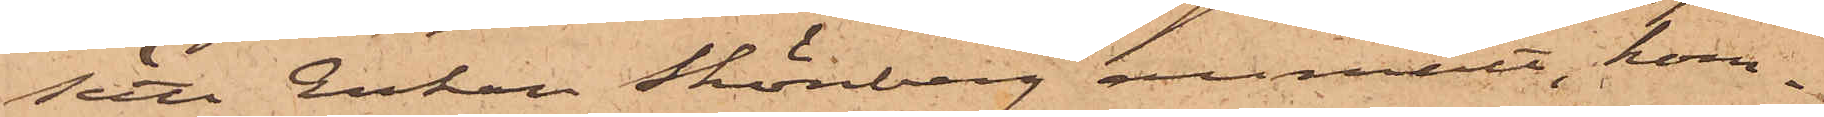sätt Enkan Skönberg anmält, kom¬
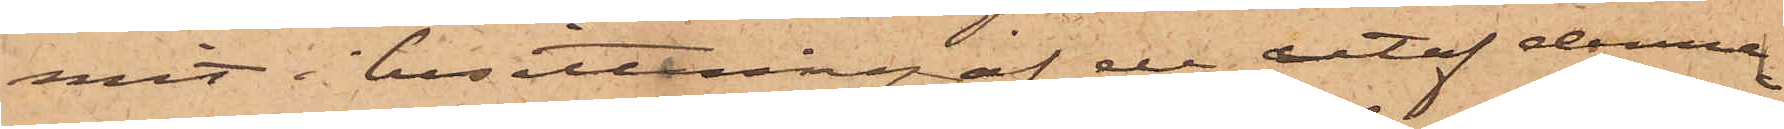mit i besittning af de utaf denna
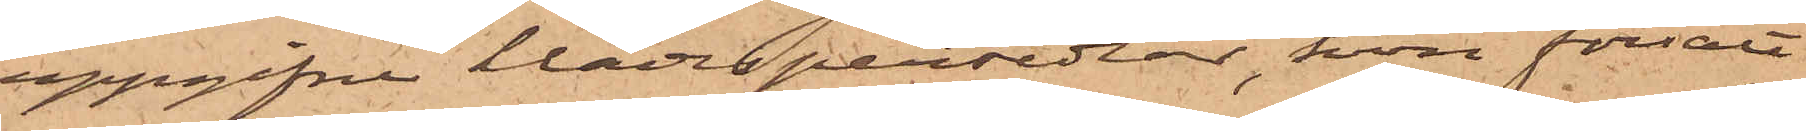uppgifne klädespersedlar, hon försålt
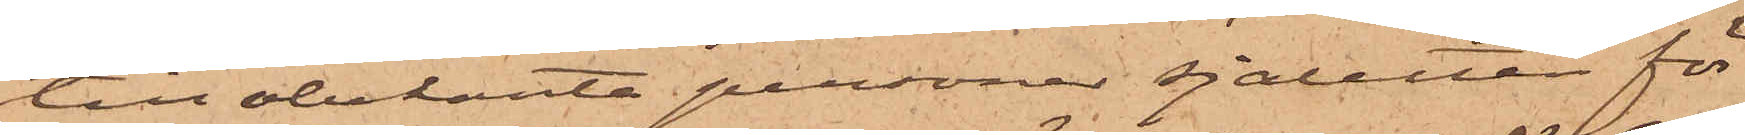till obekanta personer sjaletten för
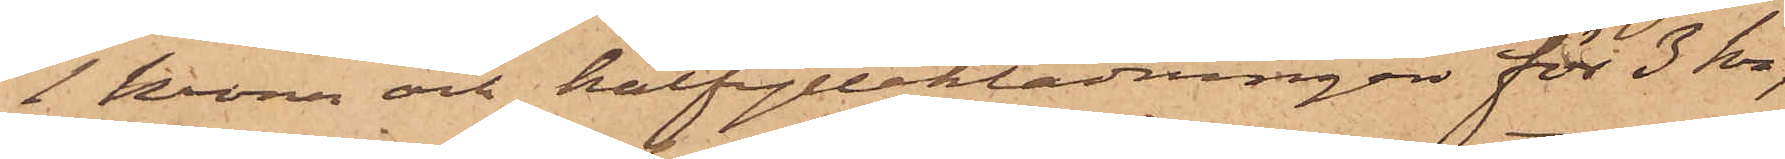1 krona och halfylleklädningen för 3 kr,
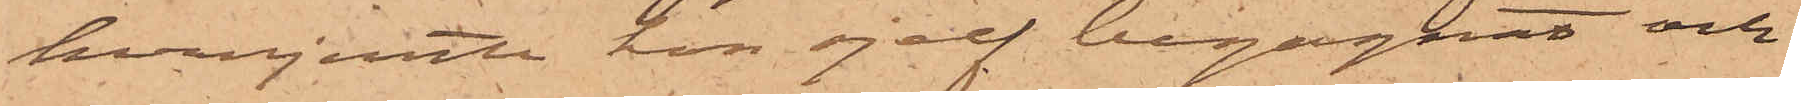hvarjemte hon sjelf begagnat och
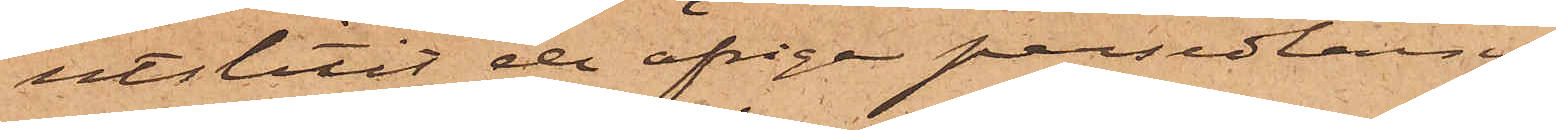utslitit de öfrige persedlarne,
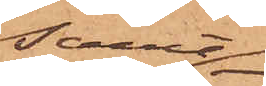samt
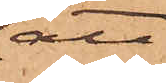att
